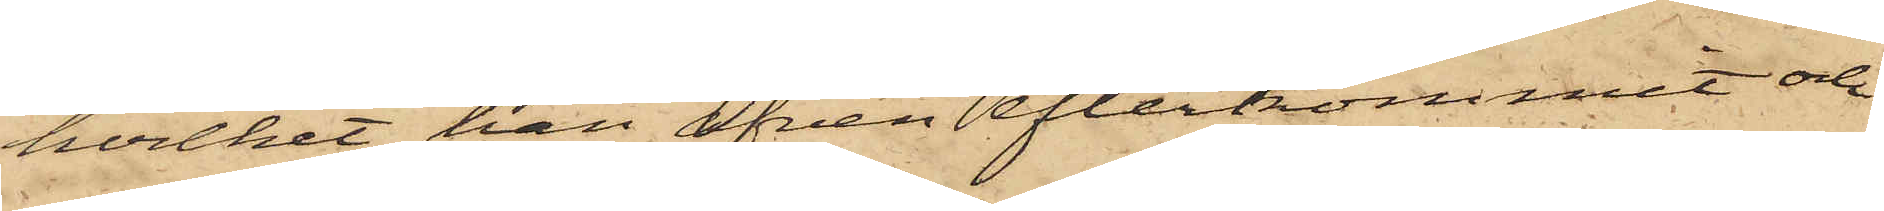hvilket han äfven efterkommit och
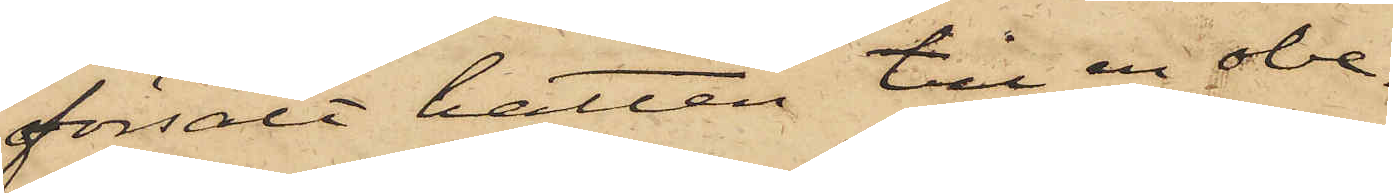försålt hatten till en obe¬
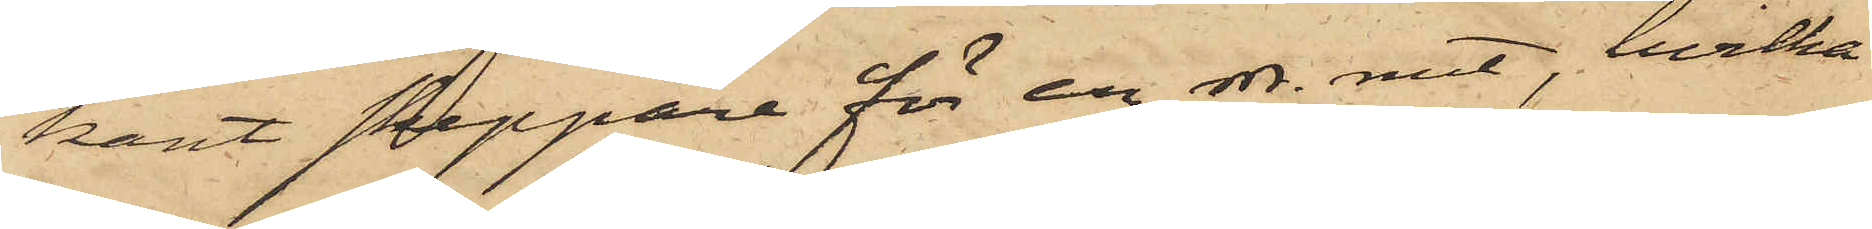kant skeppare för en rdr. rmt, hvilka
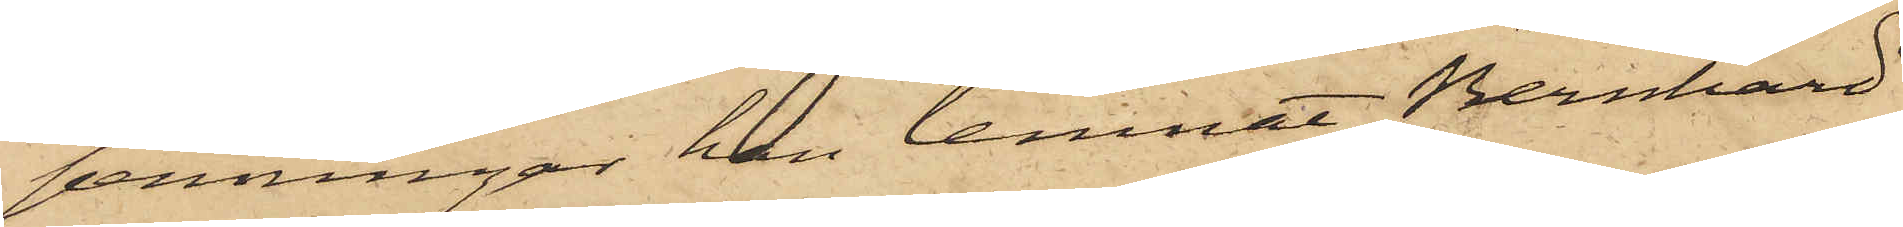penningar han lemnat Bernhard
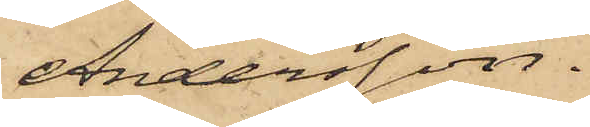Andersson.
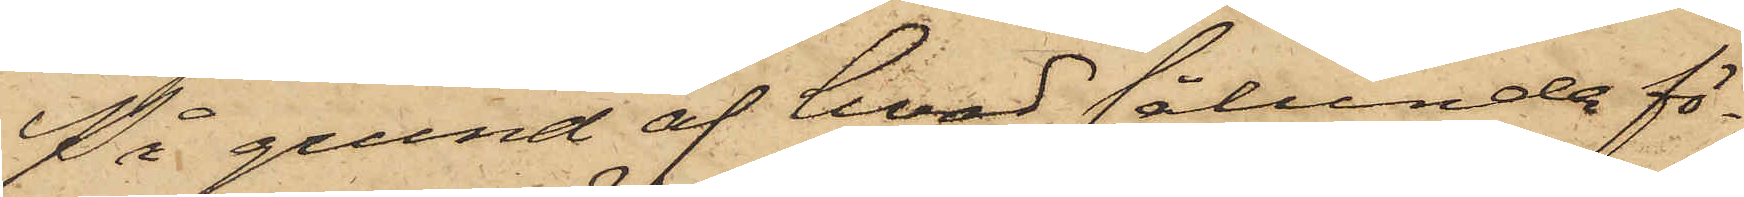På grund af hvad sålunda fö¬
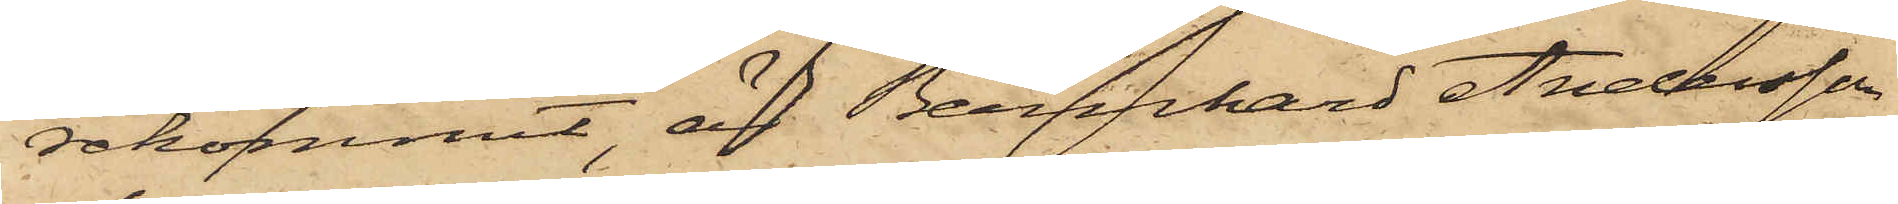rekommit, är Bernhard Andersson
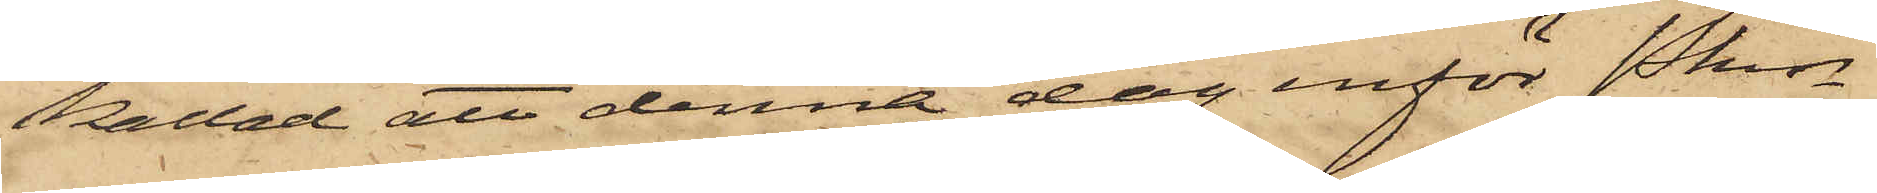kallad att denna dag inför Pkn
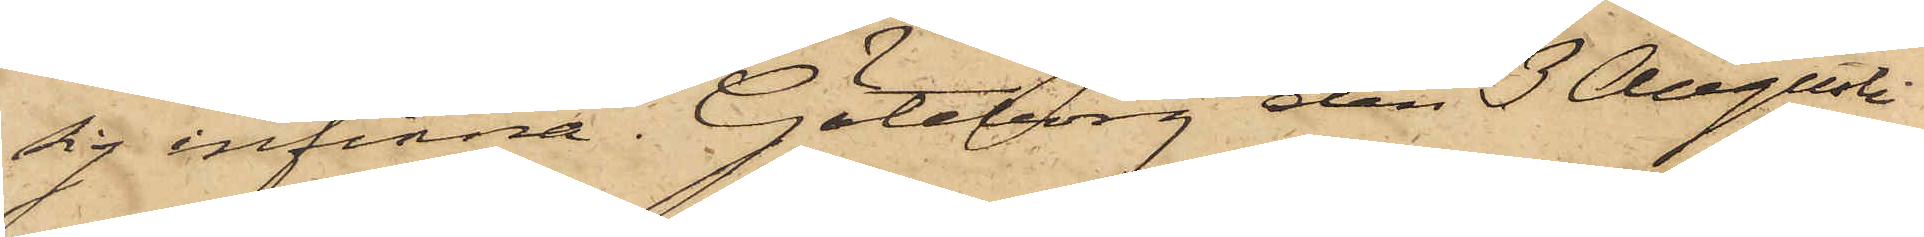sig infinna. Göteborg den 3 Augusti
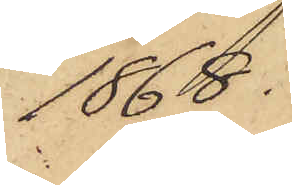1868.
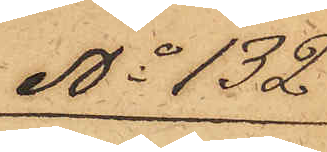No 132
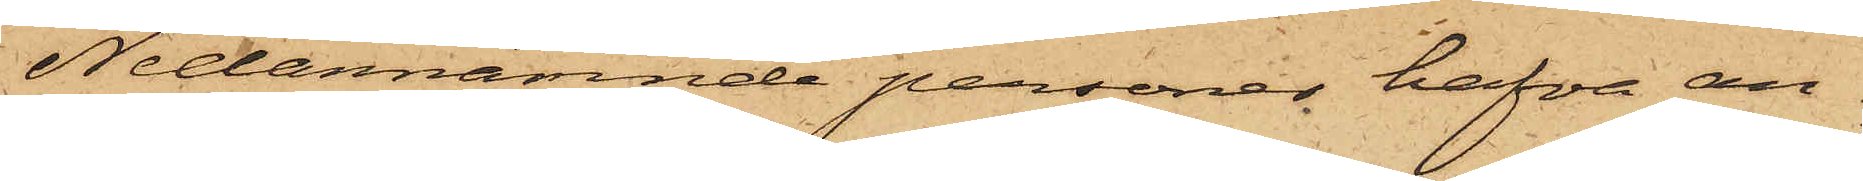Nedannämnde personer hafva an¬
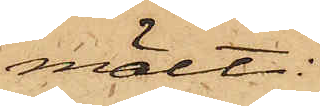mält:
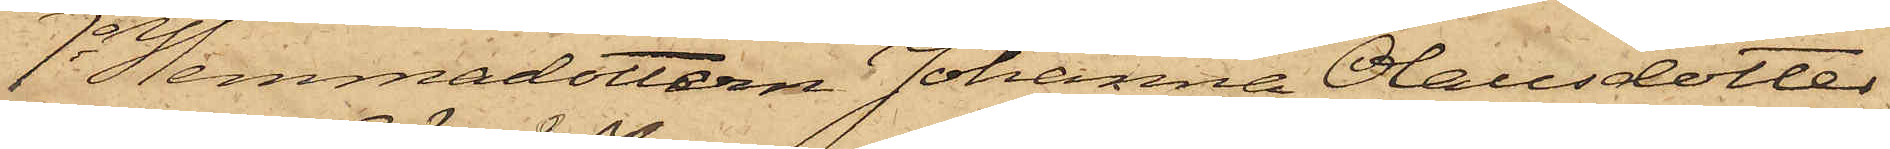1o Hemmadottern Johanna Olausdotter
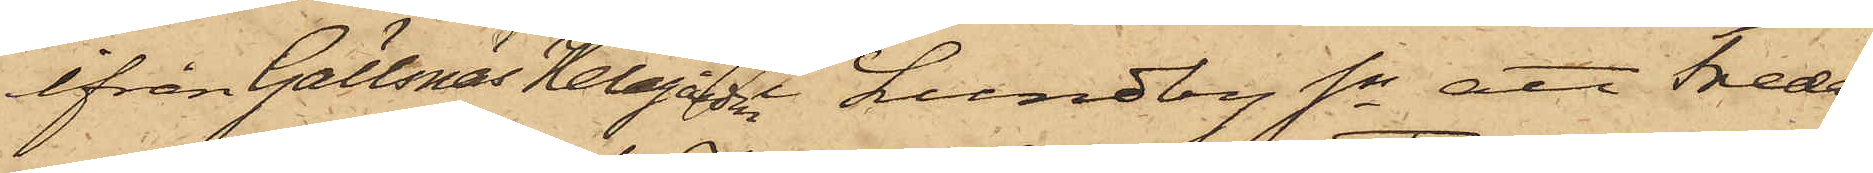ifrån Gällsnäs Helagården  i Lundby Sn att Freda¬
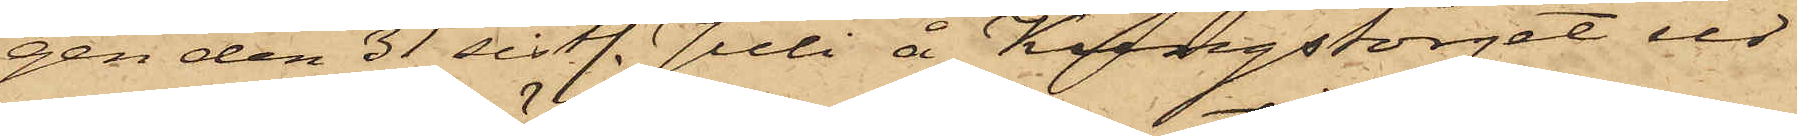gen den 31 sistl. Juli å Kungstorget ur
